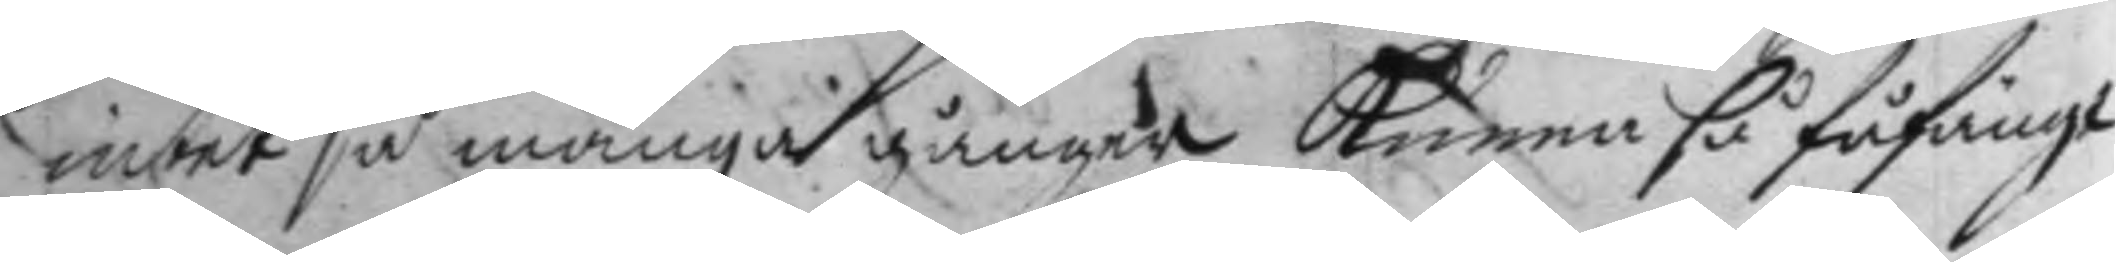intet så många gånger kunna så fåfängt
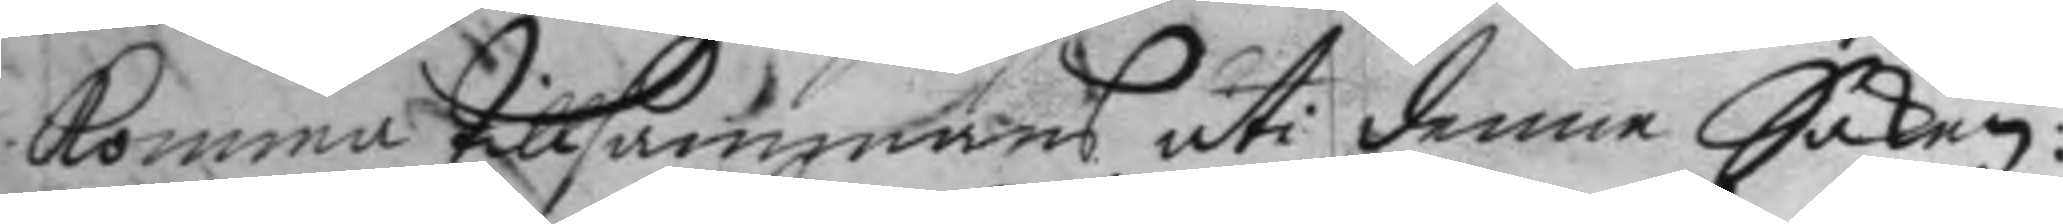komma tillsammans uti denne Saken:
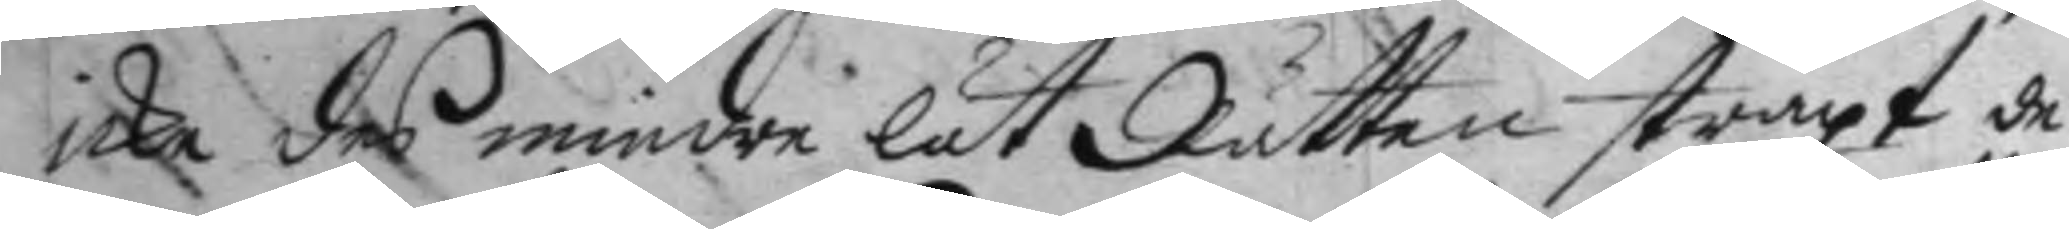icke des mindre lät Rätten straxt de
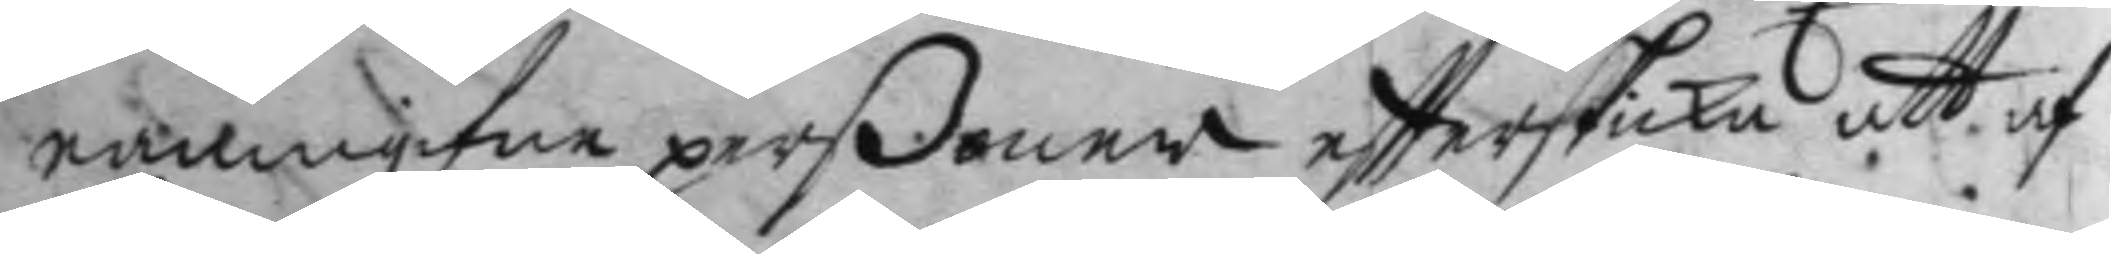namngifne perßoner eftterskicka att af
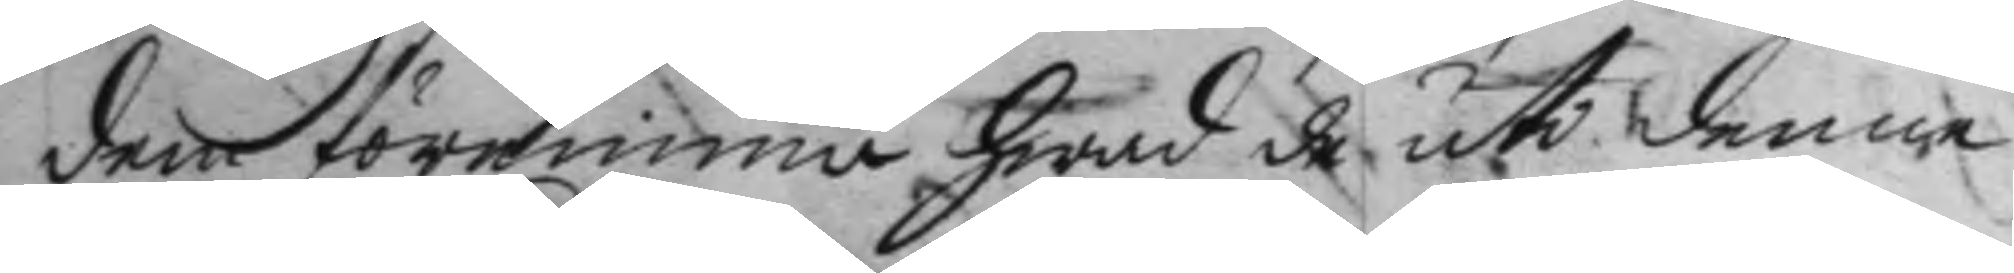dem förnimma hwad de uti denne
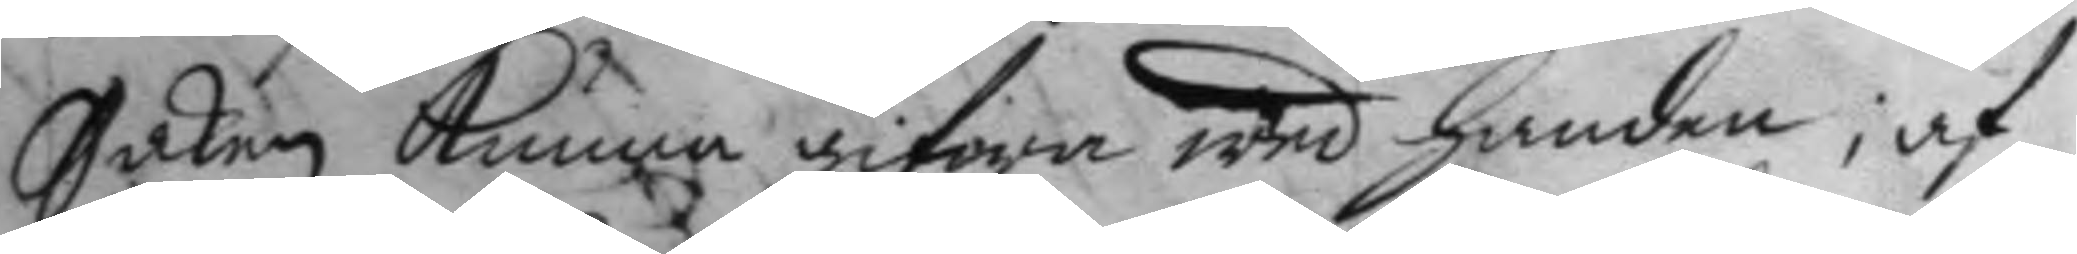Saken kunna gifwa wed handen; af
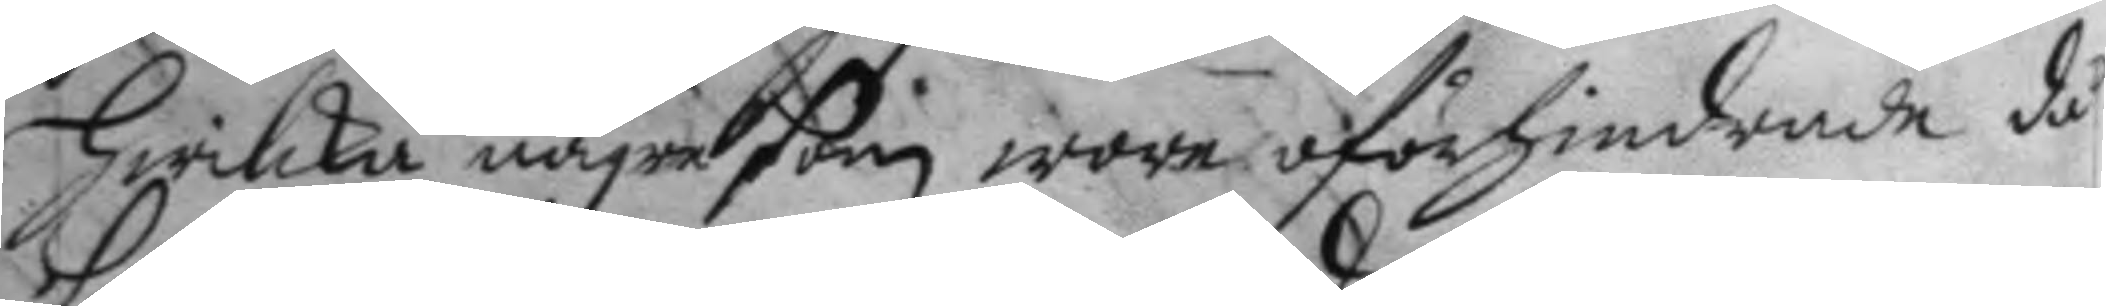hwilka någre som wore oförhindrade då
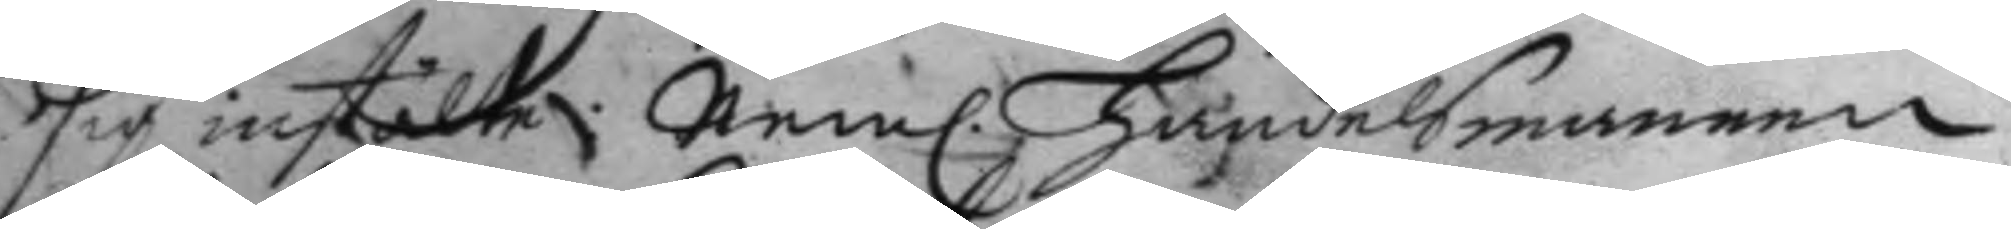sig instälte; Nem. Handelsmannen 
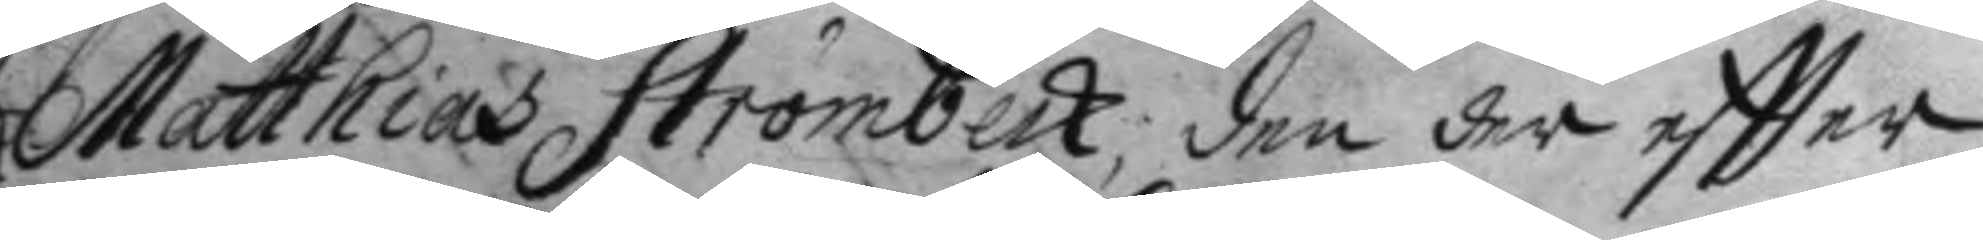Matthias Strömbeck, den der effter
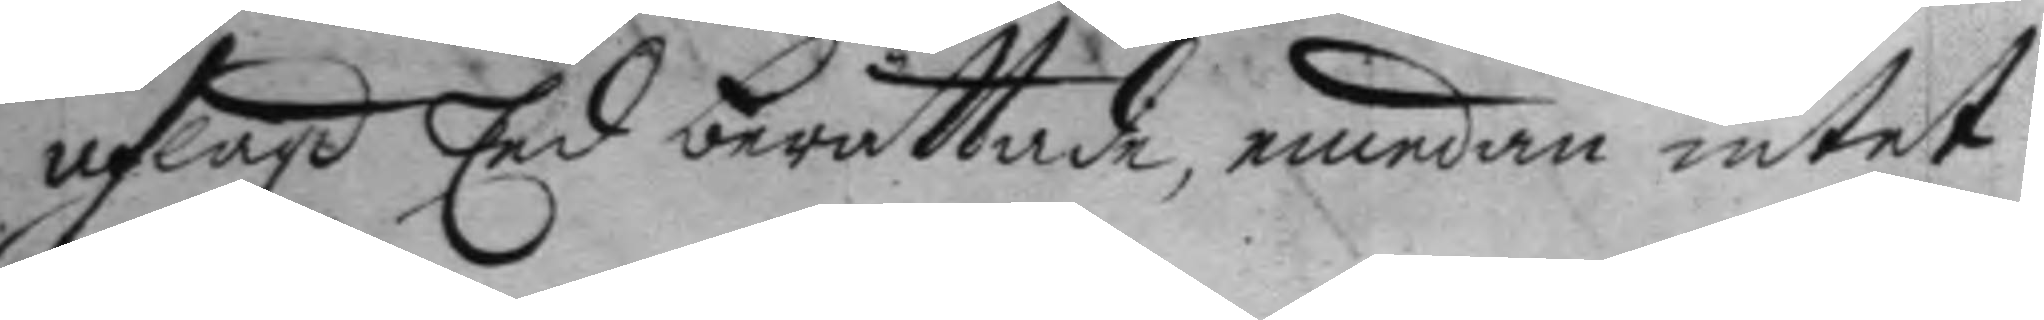aflagd Eed berättade, emedan intet
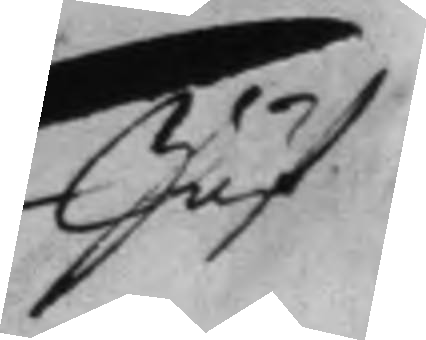Jäf
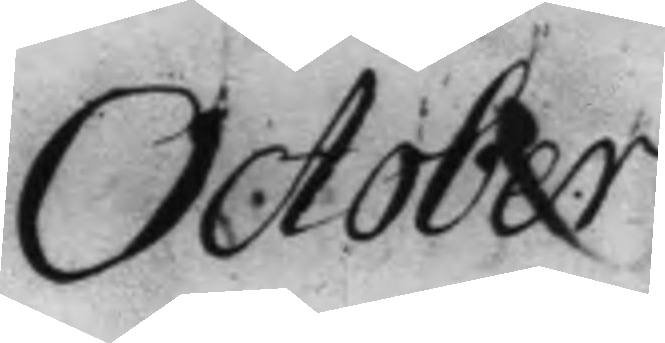October
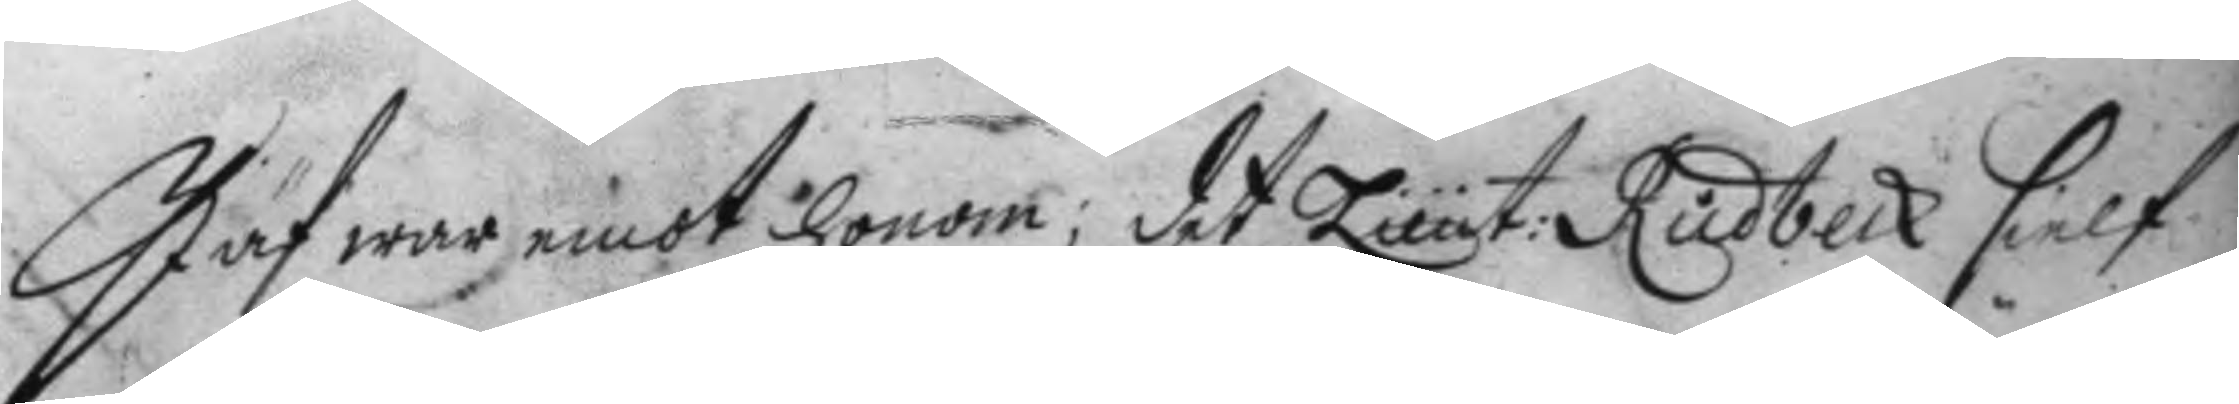Jäf war emot honom; det Lieut: Rudbeck sielf
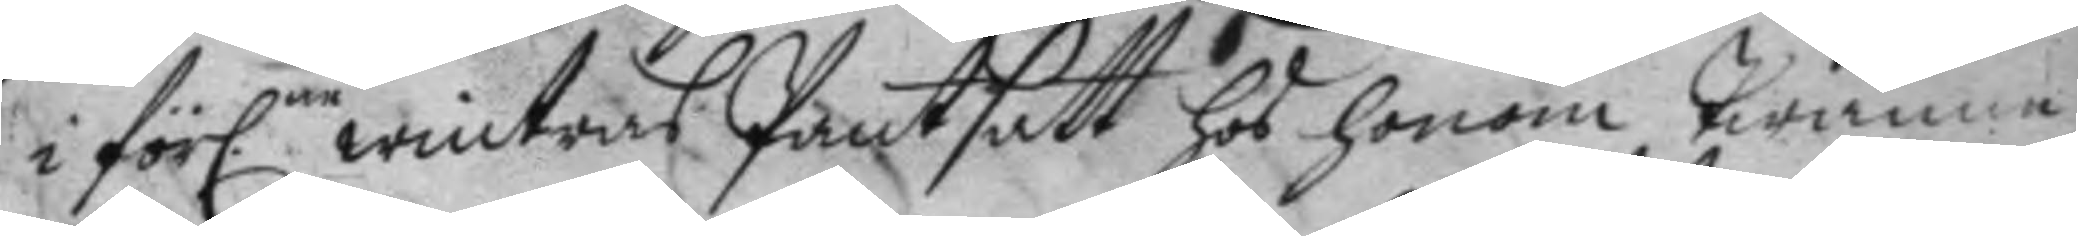i förl.ne wintras Pantsatt hos honom twänna 
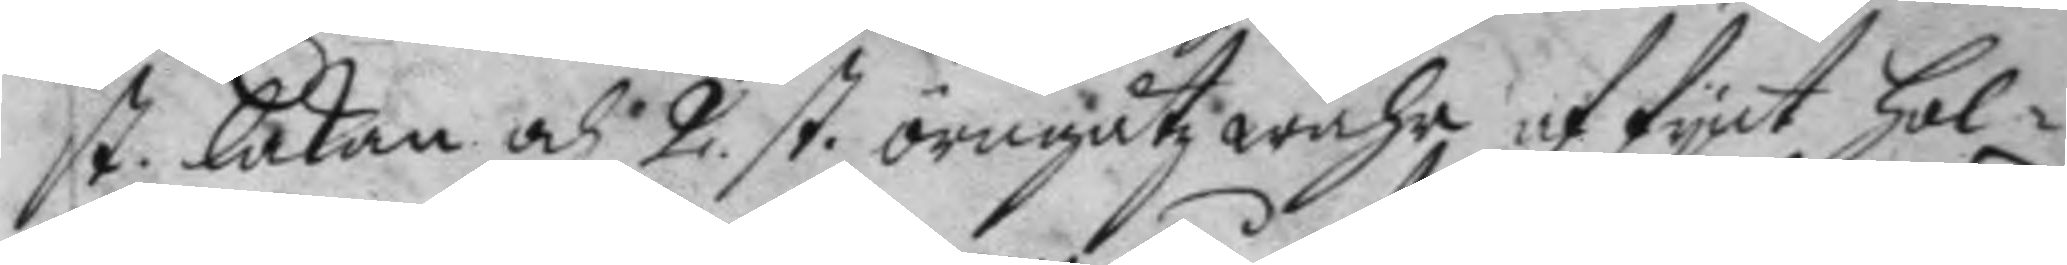st. lakan och 2 st. örngåtz wahr af fynt Hol¬ 
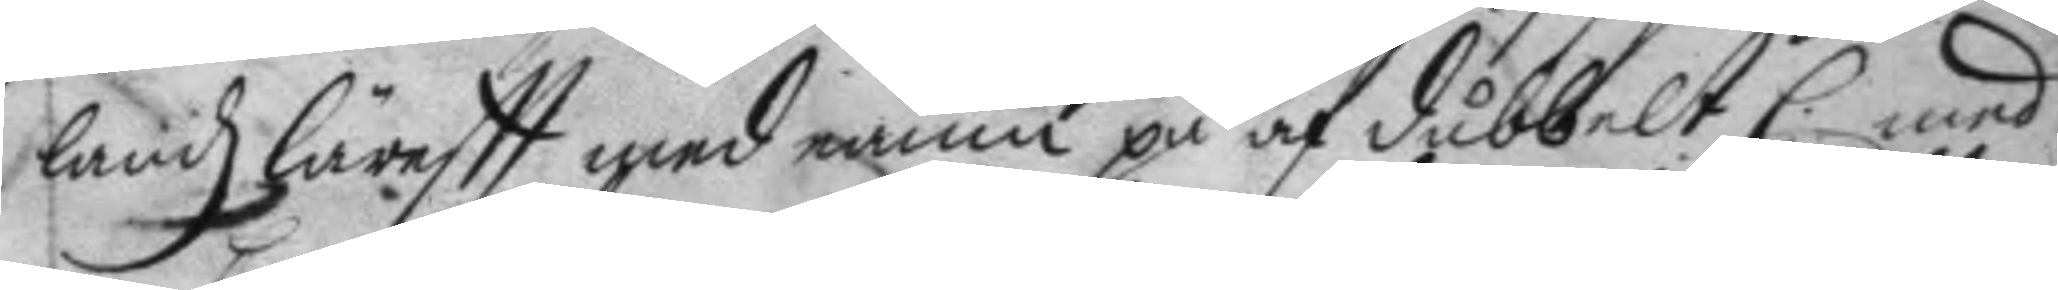landz läreftt med namn på af dubbelt C: med
